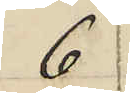6
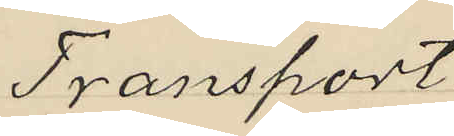Transport
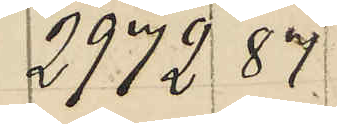2972 87
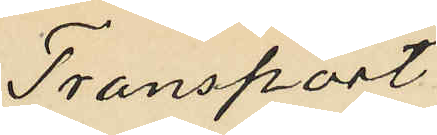Transport
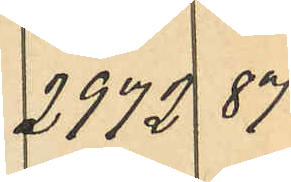2772 87
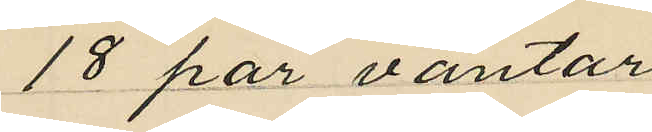18 par vantar
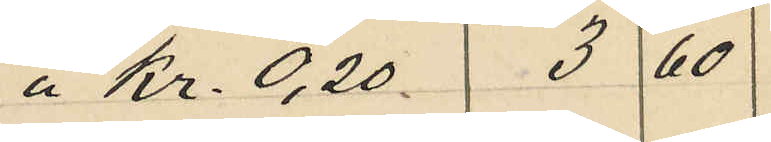á Kr. 0,20 3 60
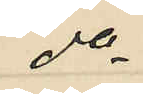do
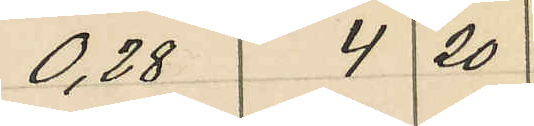0,28 4 20
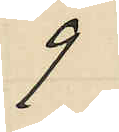9
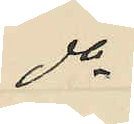do
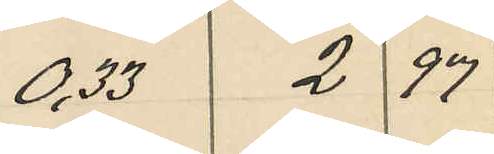0,33 2 97
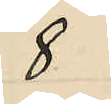8
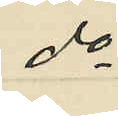do
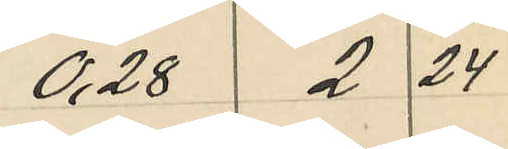0,28 2 24
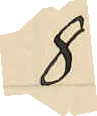8
